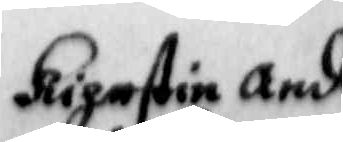Kihrstin Ande
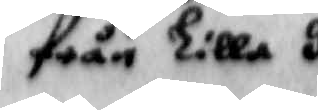från Lilla J
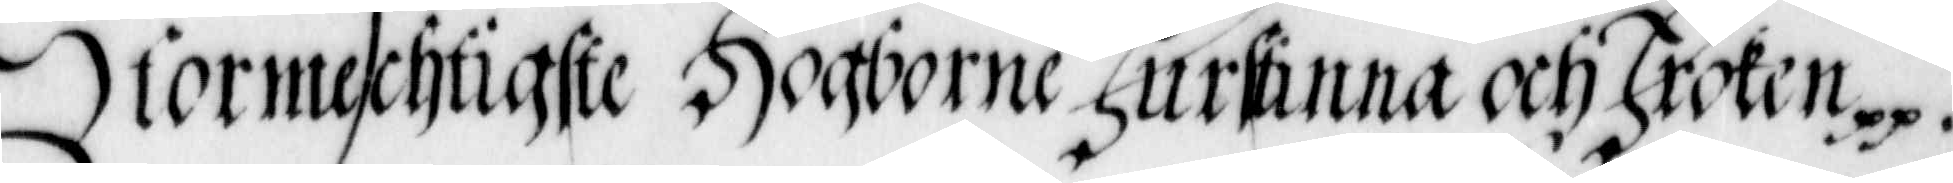Stormechtige Hogborne Furstinna och Froken.
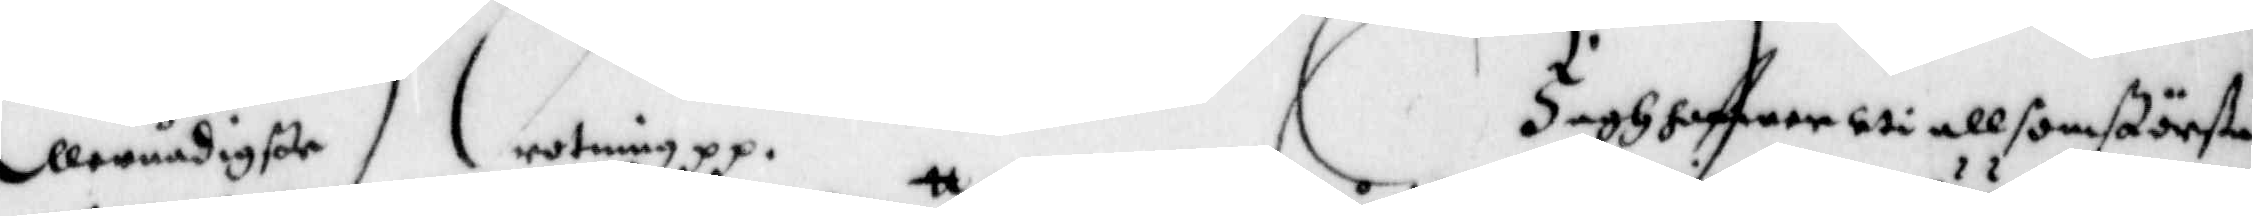Allernådigste Drotning. Jagh hafwer uti all som största
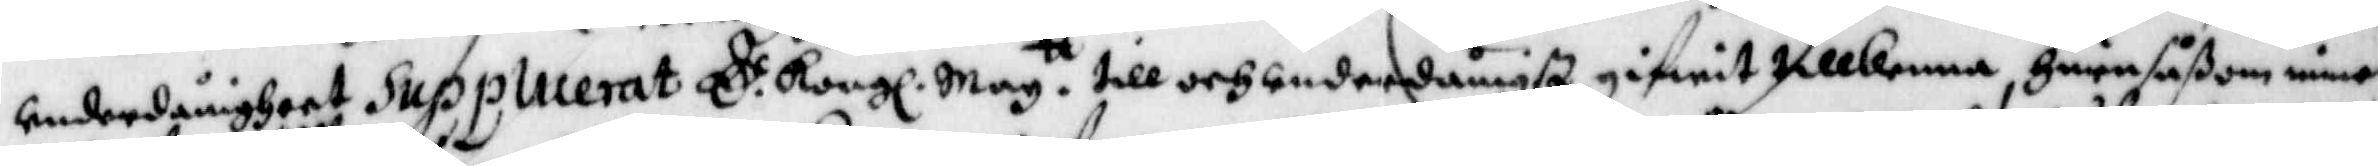underdånigheet Supplicerat E.d Kongl. May.tt till och underdånigst gifwit tillkenna, huru såßom mine
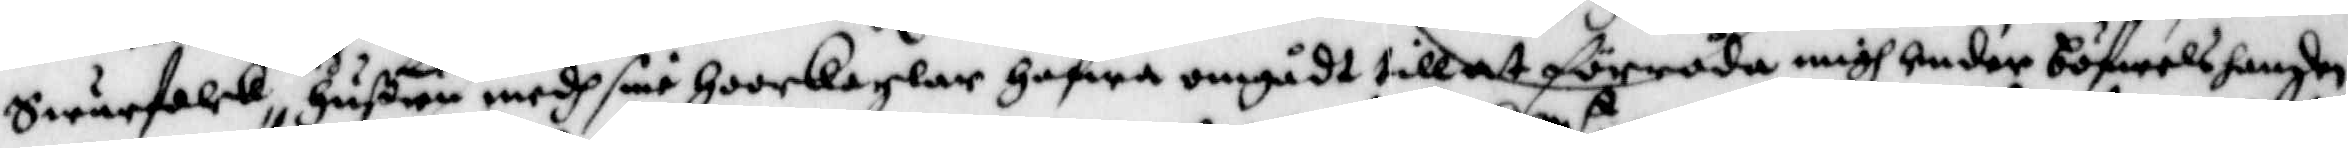Swärfolk och hußru medh sine hoorkarlar hafwa omgådt till at förråda migh under böfwelshanden
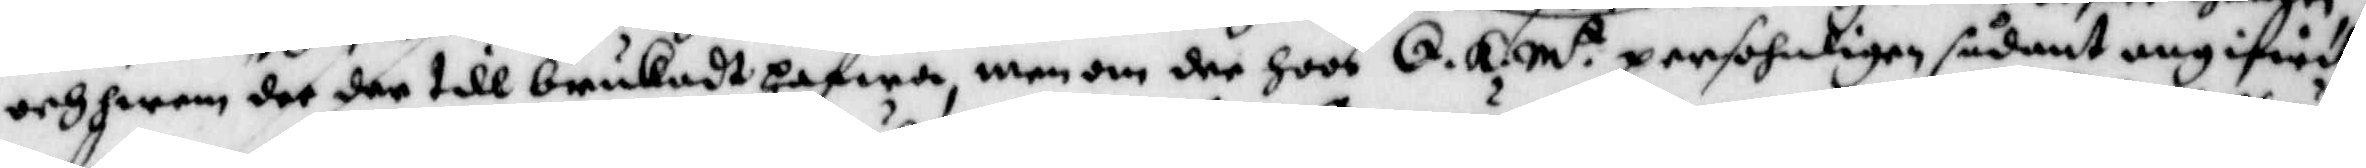och hwem det der till brukadt hafwa, men om der hoos E. K. M.t persohnligen sådant angifwit
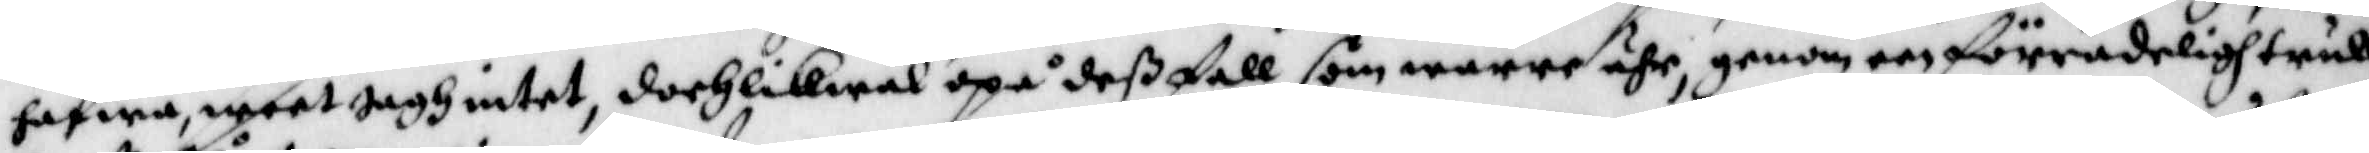hafwa weet jagh intet, doch likwäl upå deß fall som wärre ähr, genom een förrädeligh trull¬
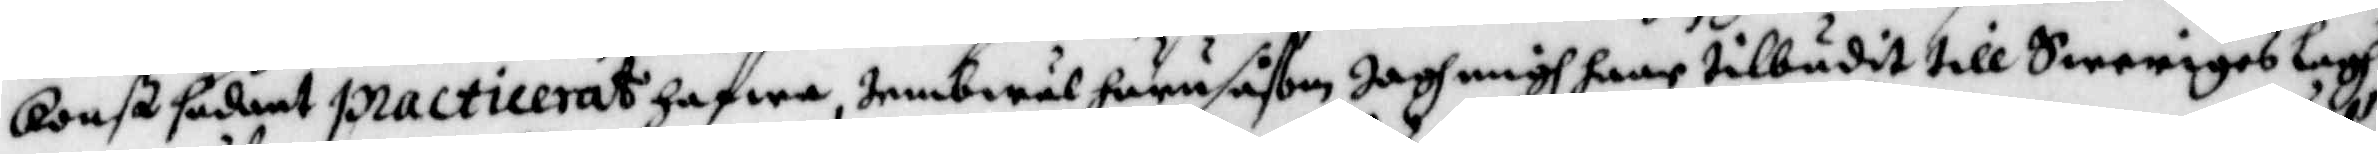konst sådant practicerat hafwa, iembwäl huru såsom jagh migh haar tillbudit till Sweriges lagh
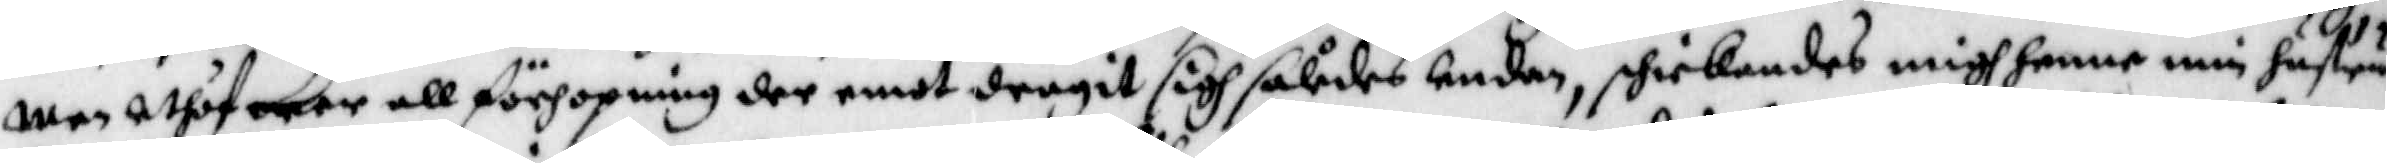men uthaf mer all förhopning der emot dragit sigh således undan, skickandes migh henne min hustru
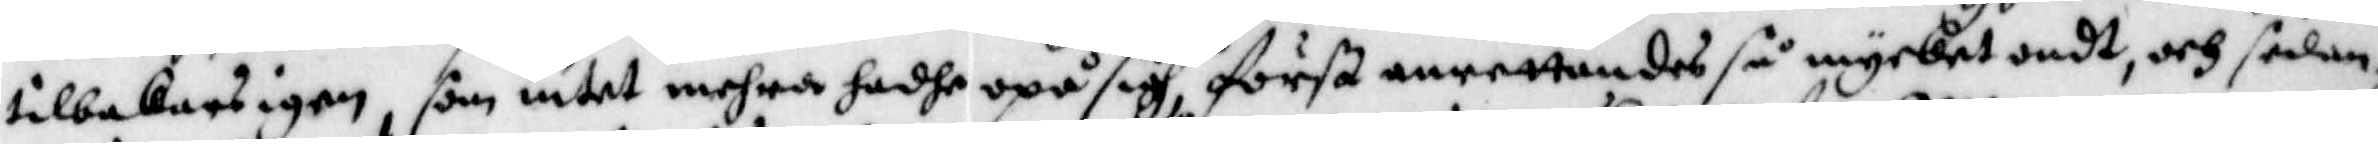tilbakars igen, som intet mehra hadhe upå sigh först anrettandes så mycket ondt, och sedan
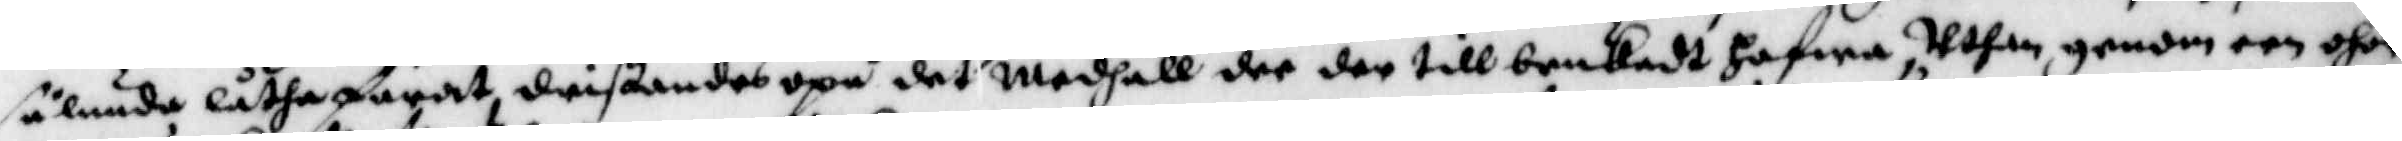sålunda låtha farat, dristandes upå det medhåll dee der tillbrukadt hafwa, uthan genom een ohör¬
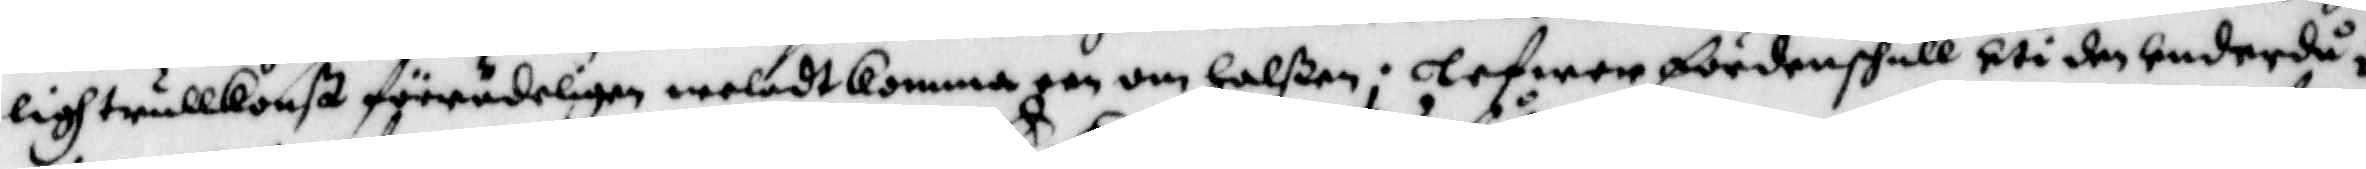ligh trullkonst förrudeligen weladt komma een om halßen; lefwer fördenskull uti den underdå¬
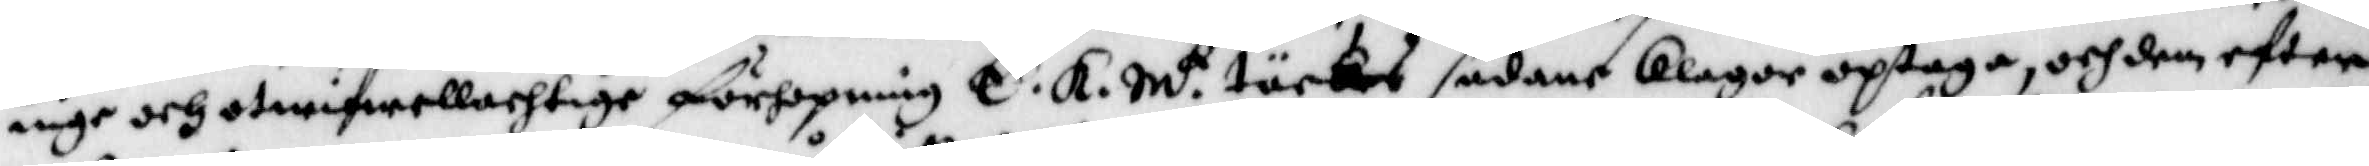nige och otwifwellachtige förhopning E. K. M.t täckes sådant klagor optaga, och dem efter
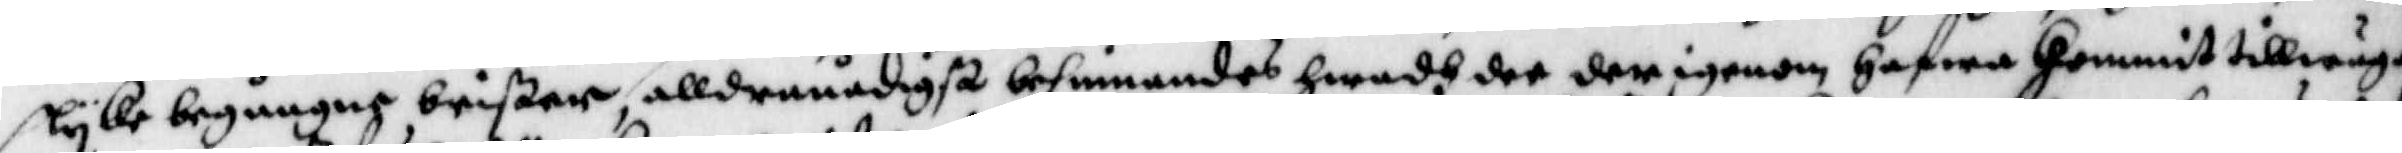slyke begångne brister, allranådigst befinnandes hwadh der den igenom hafwa kommit tillwäga
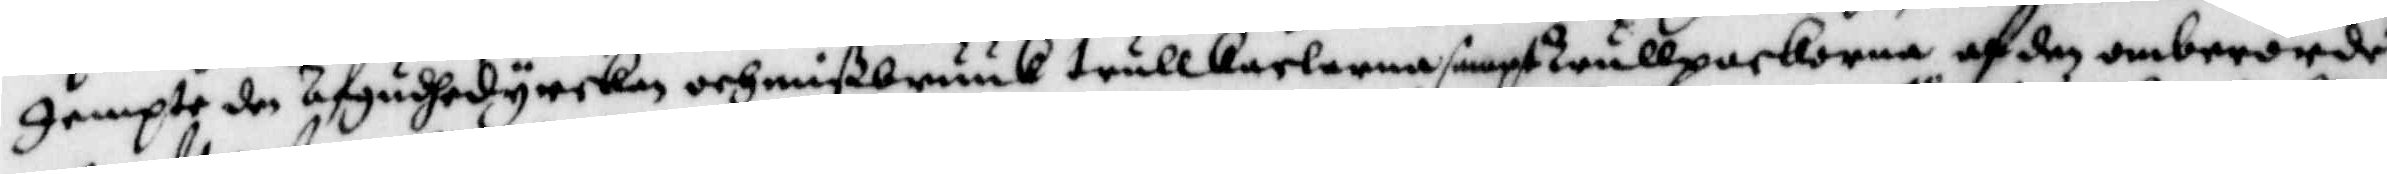Jempte den öfgudhedyrckan och mißbruuk trullkarlarna sampt Trullpackorna af den omberörde
